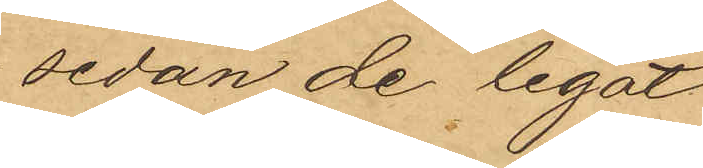sedan de legat
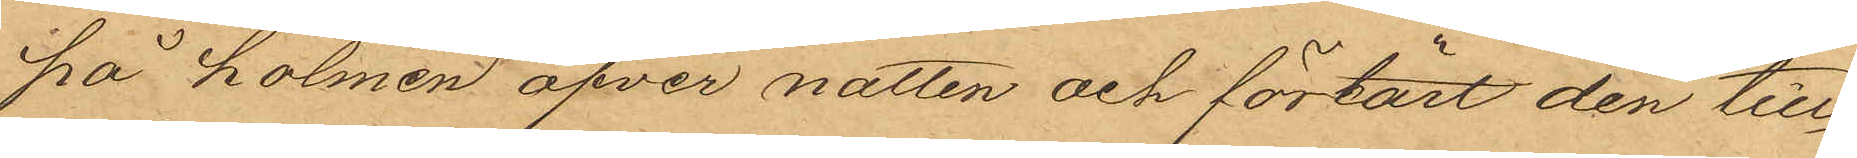på holmen öfver natten och förtärt den till¬
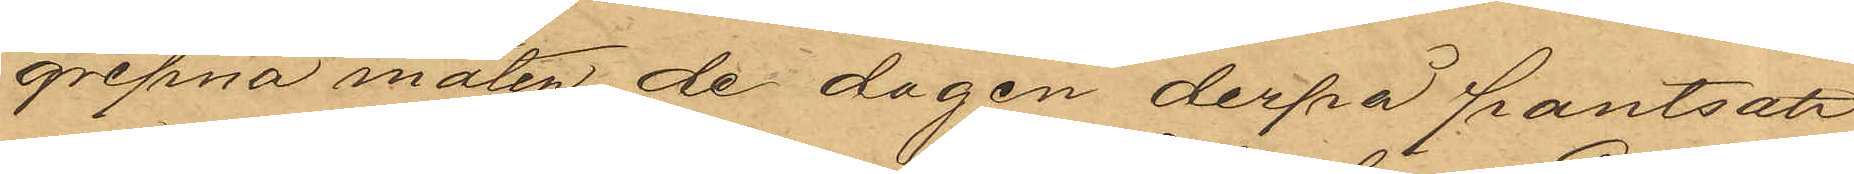gripna maten, de dagen derpå pantsatt
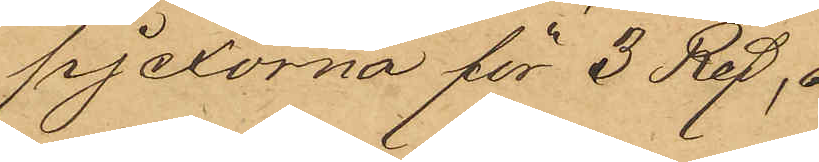pjexorna för 3 Rdr,
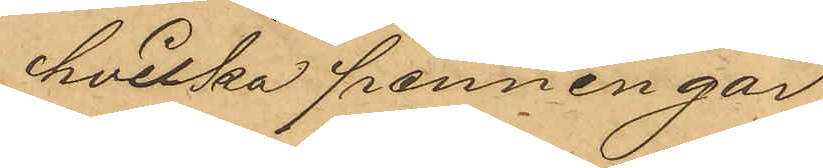hvilka penningar
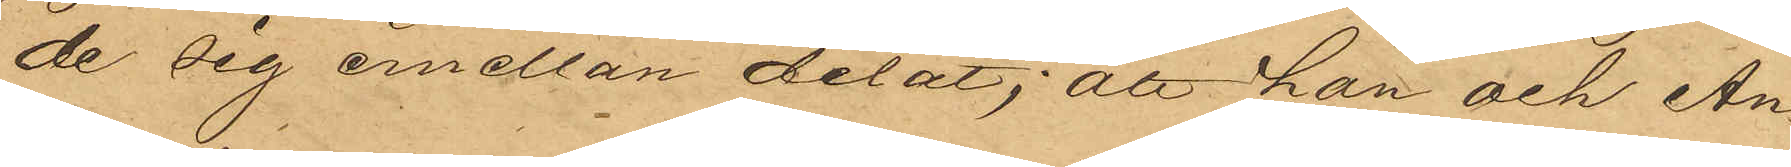de sig emellan delat; att han och An¬
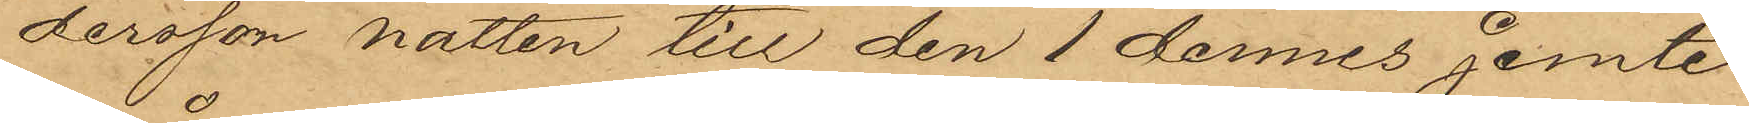dersson natten till den 1 dennes jemte
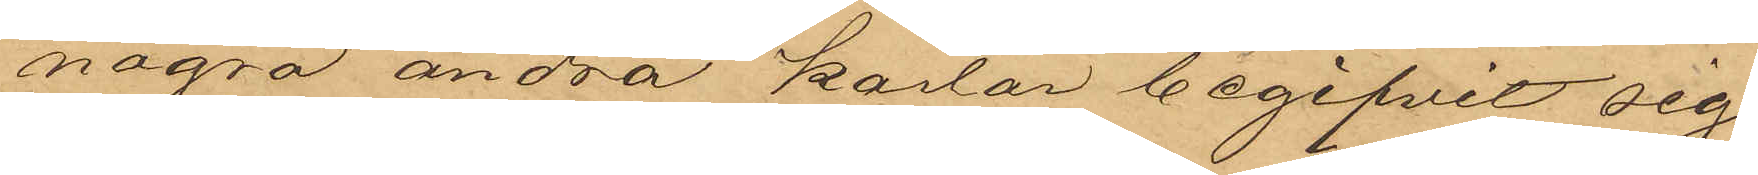några andra karlar begifvit sig
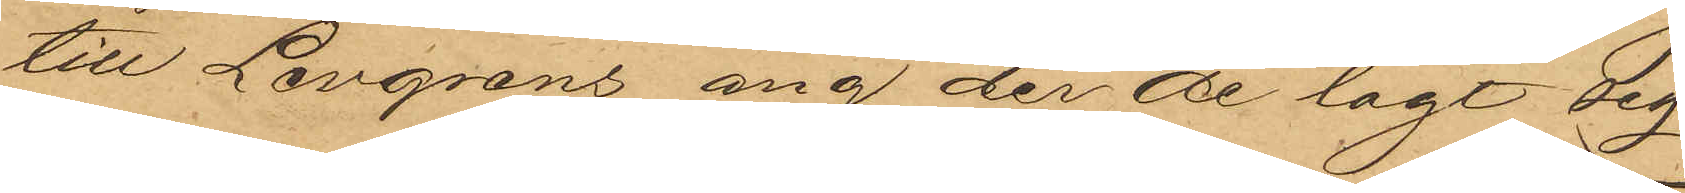till Levgrens äng der de lagt sig
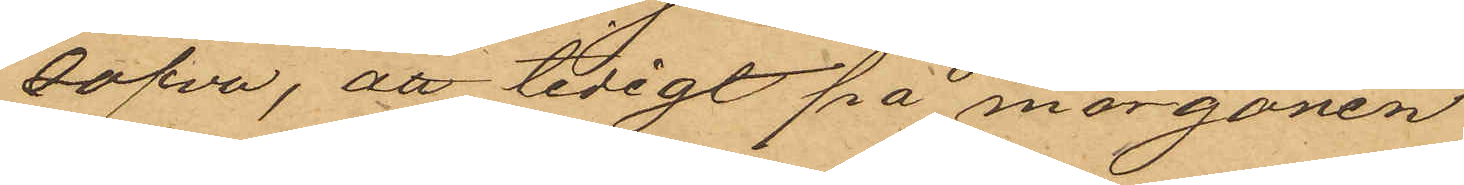att sofva, att tidigt på morgonen
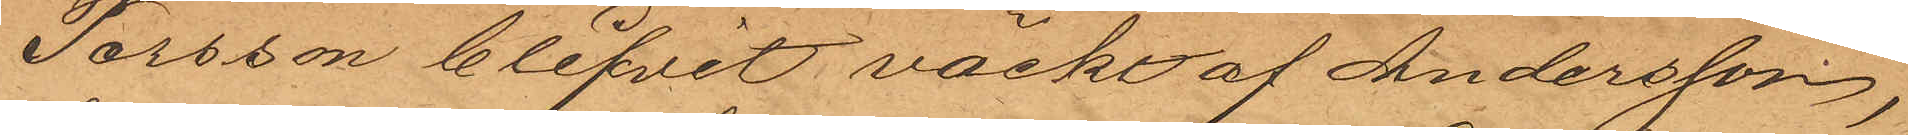Persson blifvit väckt af Andersson,
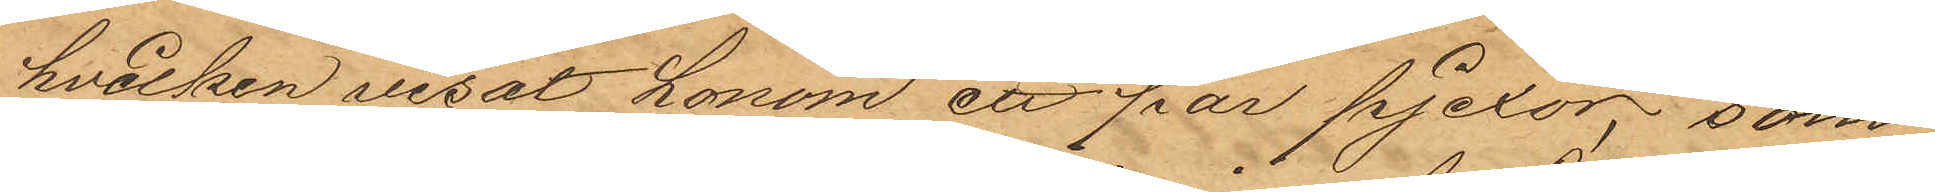hvilken visat honom ett par pjexor, som
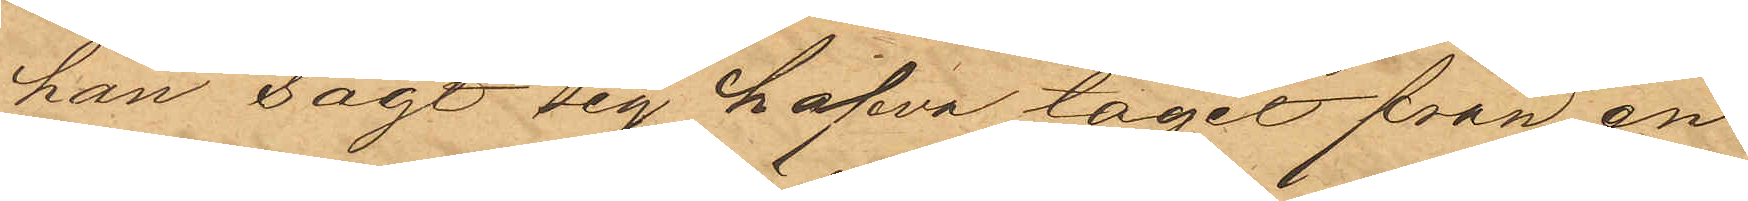han sagt sig hafva tagit från en
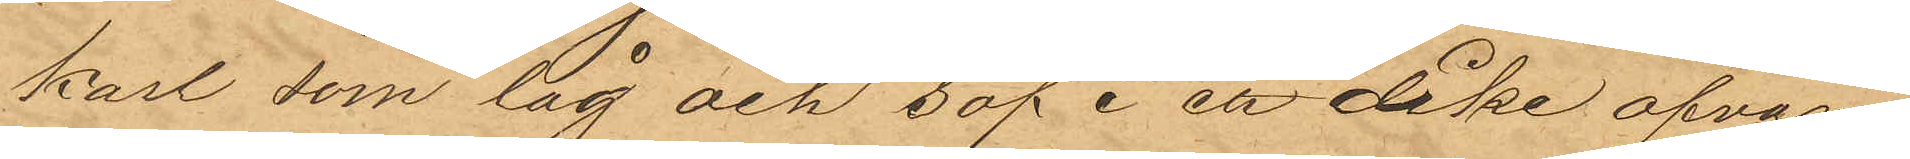karl som låg och sof i ett  dike ofvan¬
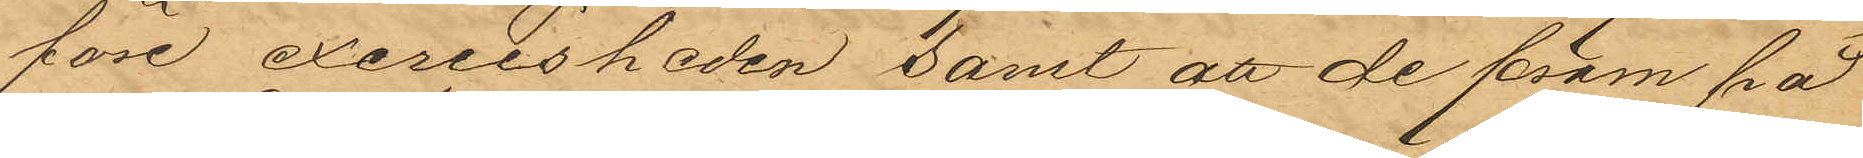före exercisheden samt att de fram på
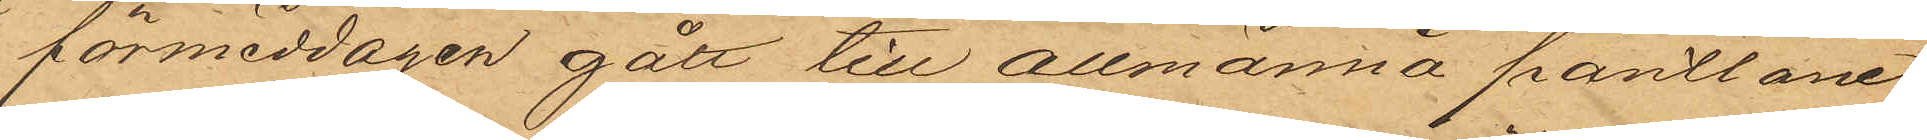förmiddagen gått till allmänna pantlåne¬
